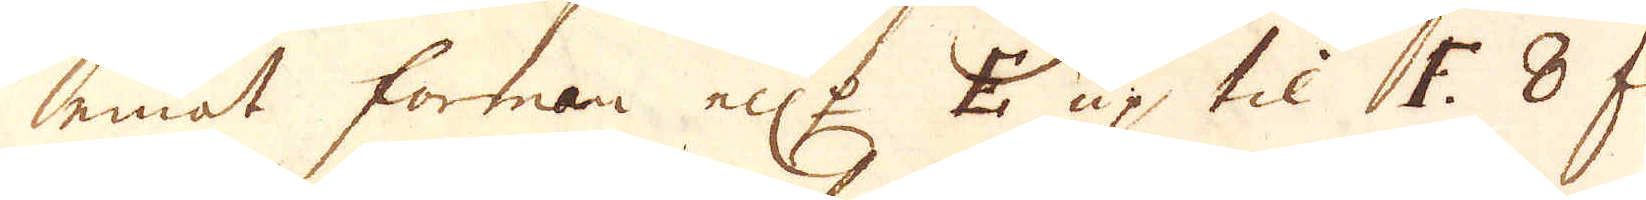emot forman ell:r E up til F 8 fot
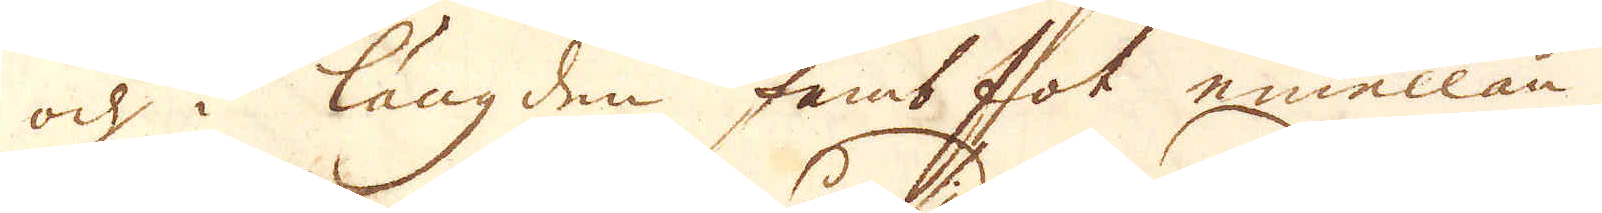och i längden femb fot emellan skil-
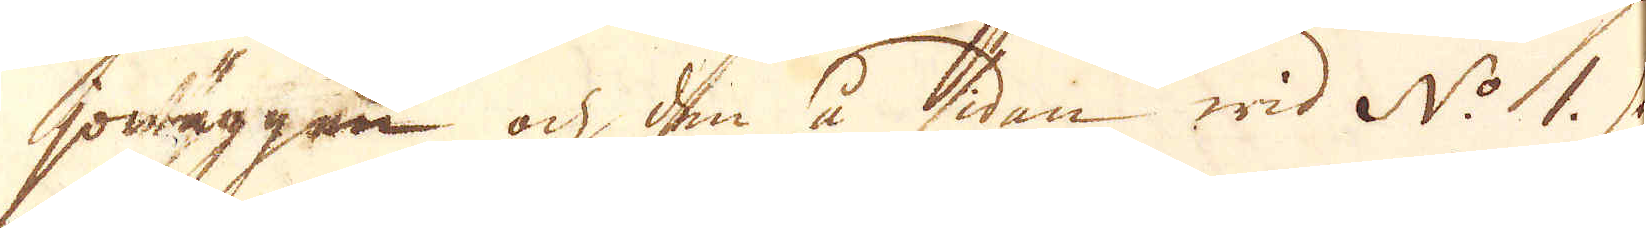jowäggen och den å sidan wid N:o 1. som
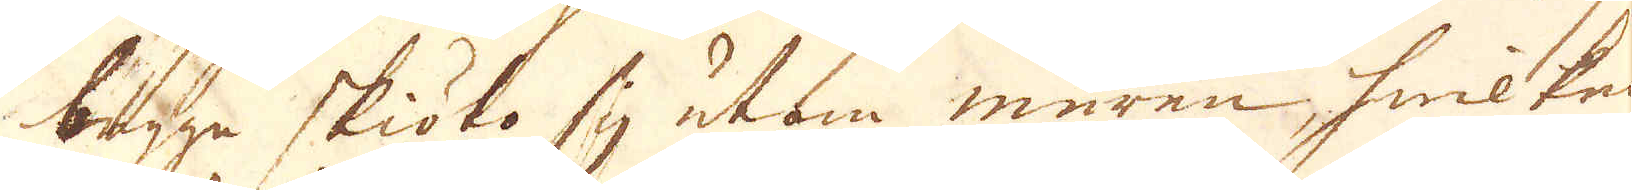bägge skiöto sig utom muren, hwilken
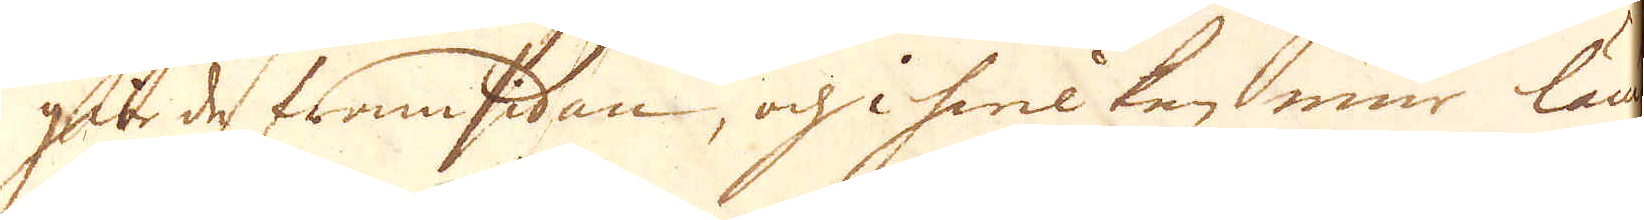giorde framsidan, och hwilken mur lämpas
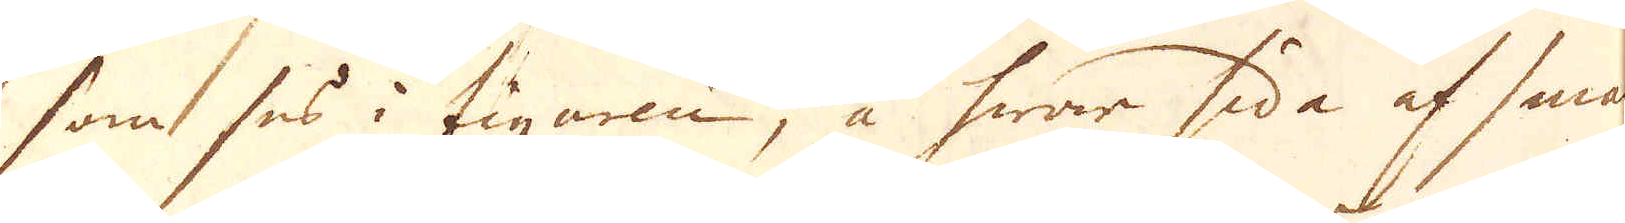som ses i figuren, å hwar sida af smala
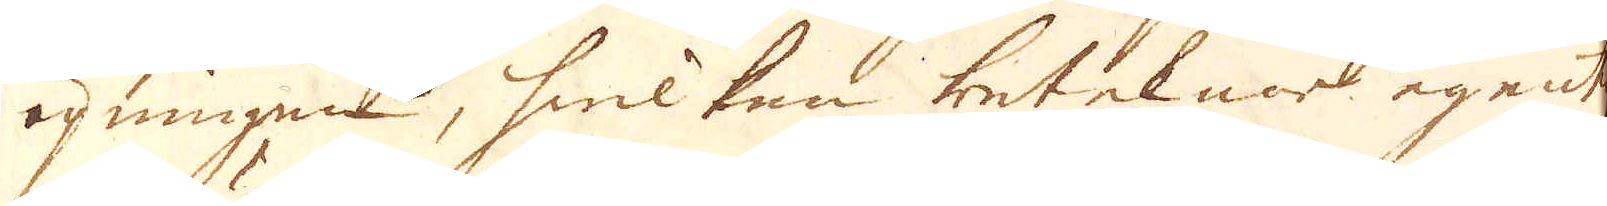öpningen, hwilken beteknar egentel:
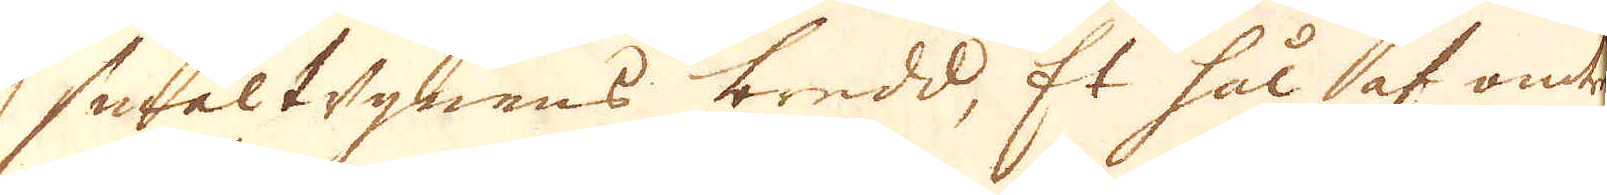smältugnens bredd, Et hål af omtrent
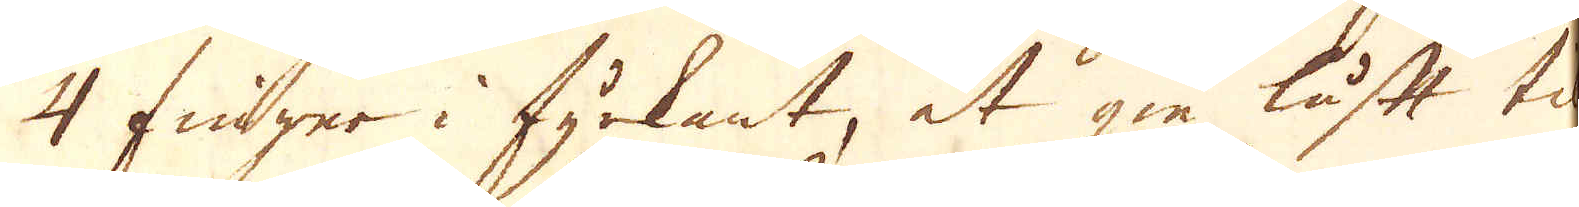4 finger i fyrkant, at gie luft til
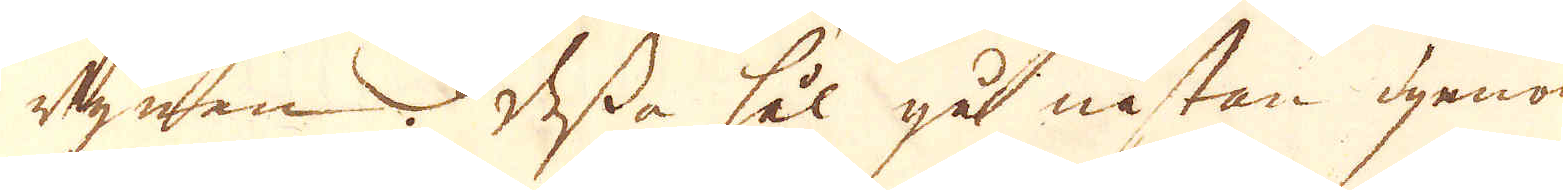ugnen. Dessa hål går nästan genom
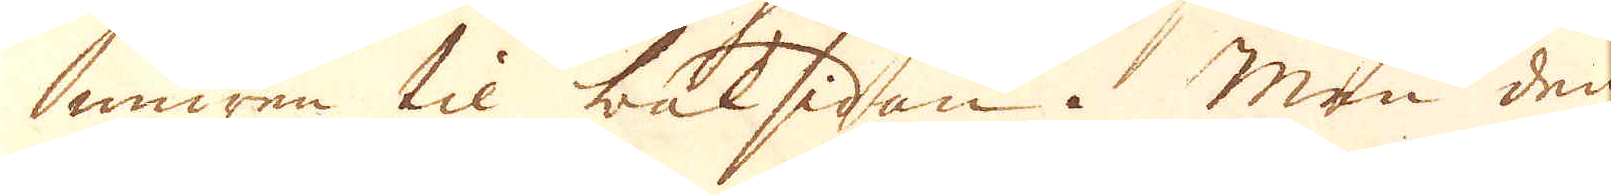muren til baksidan. Men den
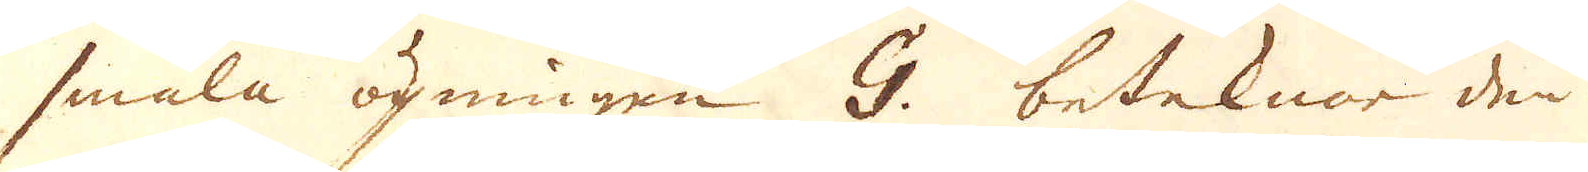smala öpningen G. beteknar den öp-
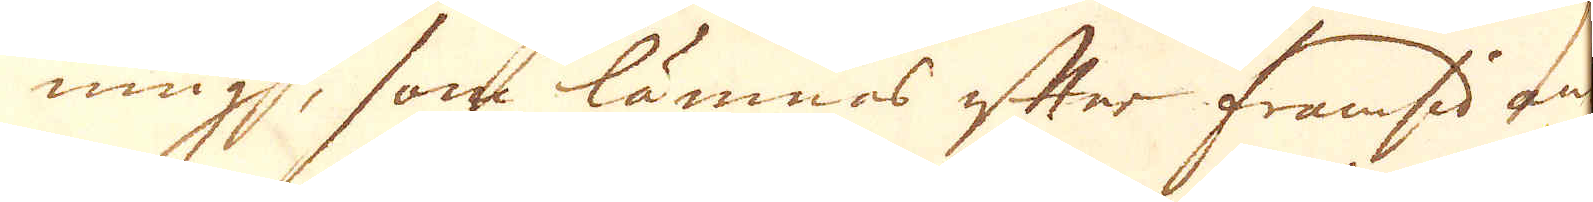ning, som lämnas efter framsidans
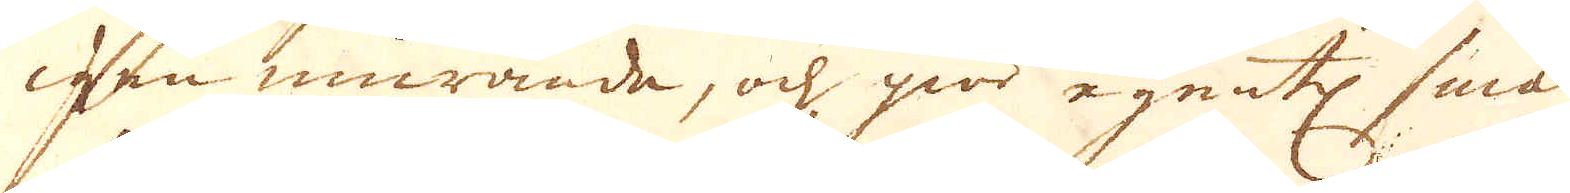igen murande, och giör egentl: smält-
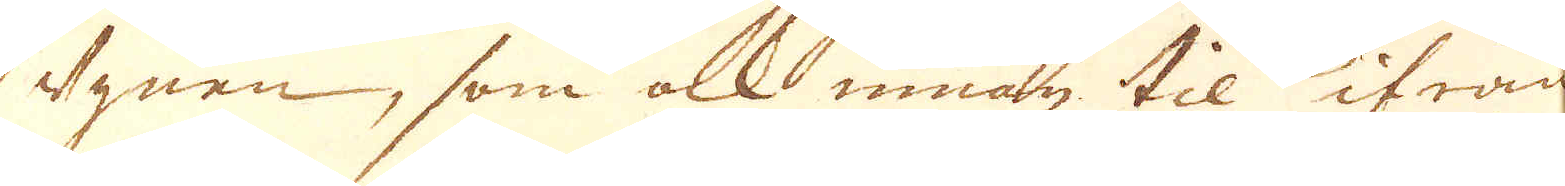ugnen, som alt innan til ifrån
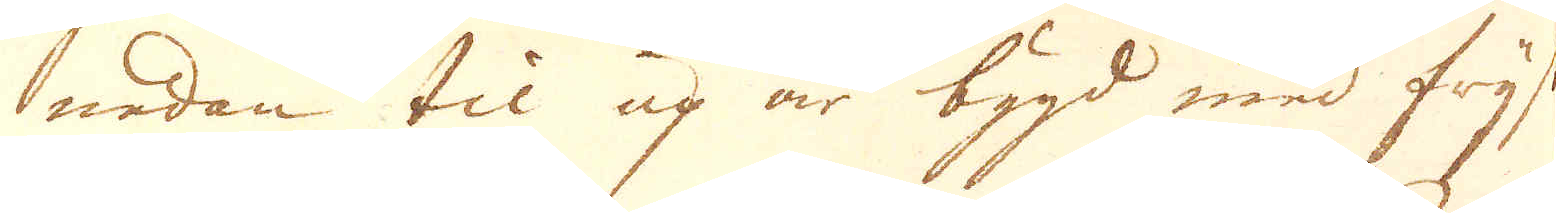nedan til up är bygd med frijsk
